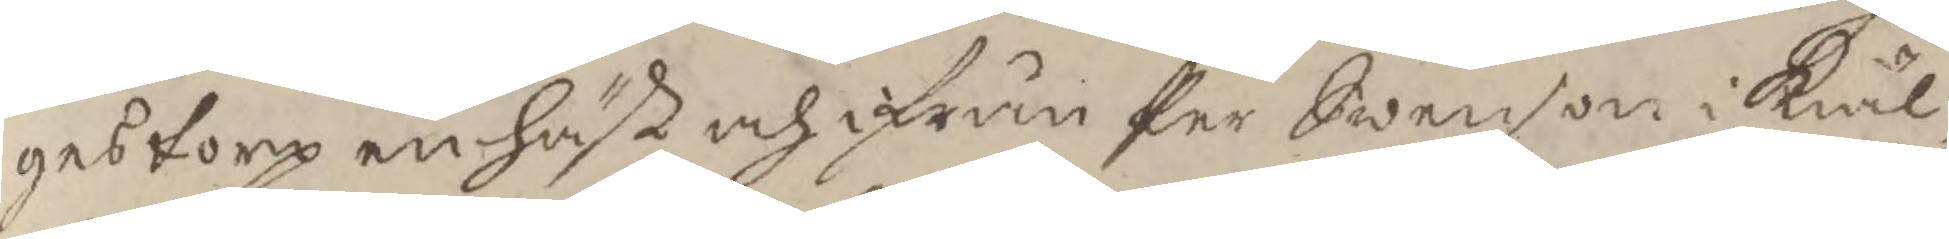gestorp en häst och ifrån Per Swenson i Kiäl¬
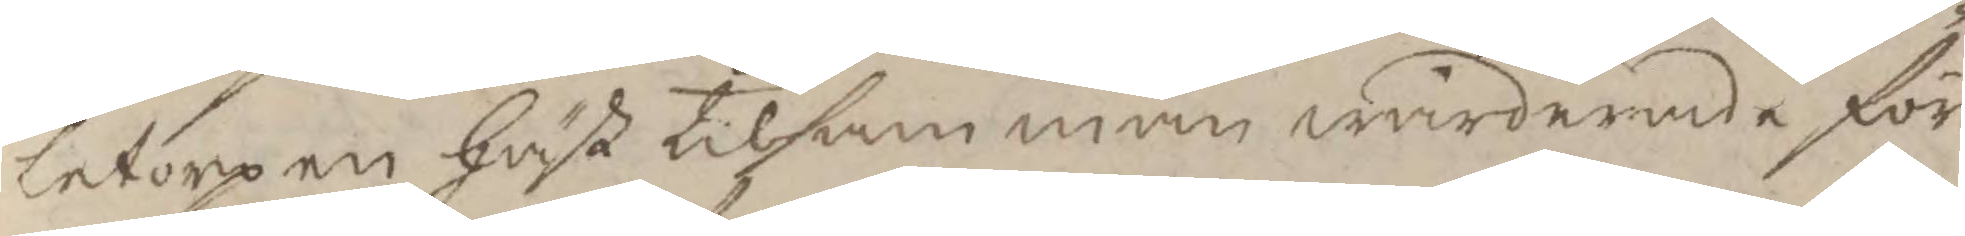letorp en häst tilsamman wärderade för
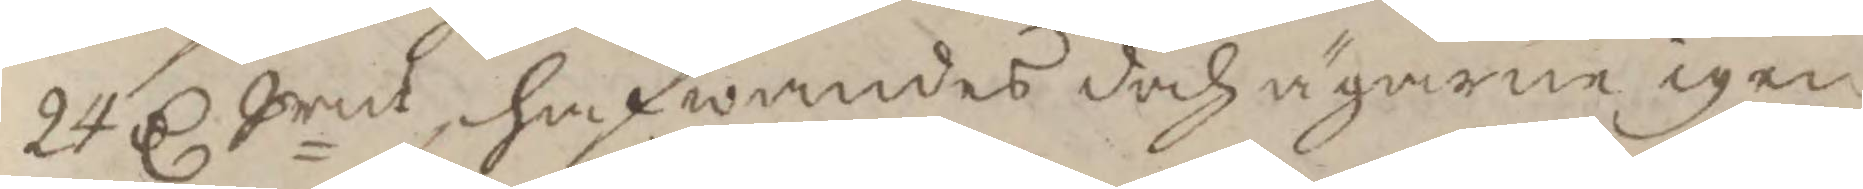24 C Srmt, hafwandes doch ägarne igen¬
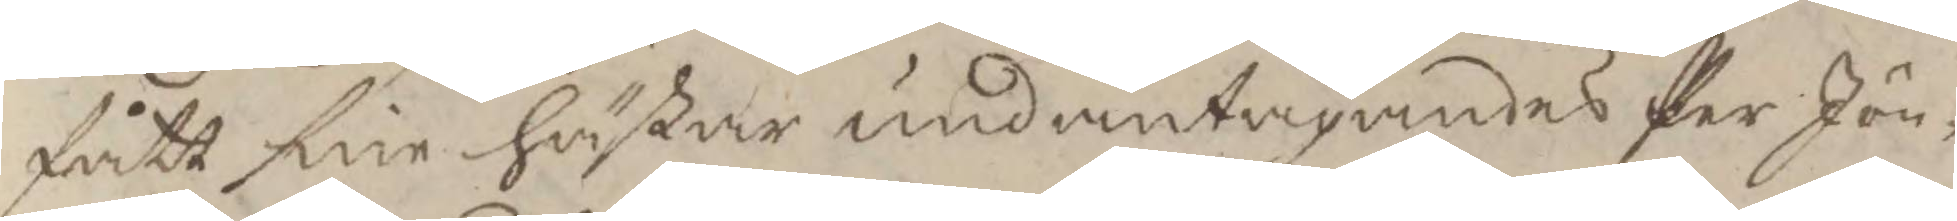fått sine hästar undantagandes Per Jön¬
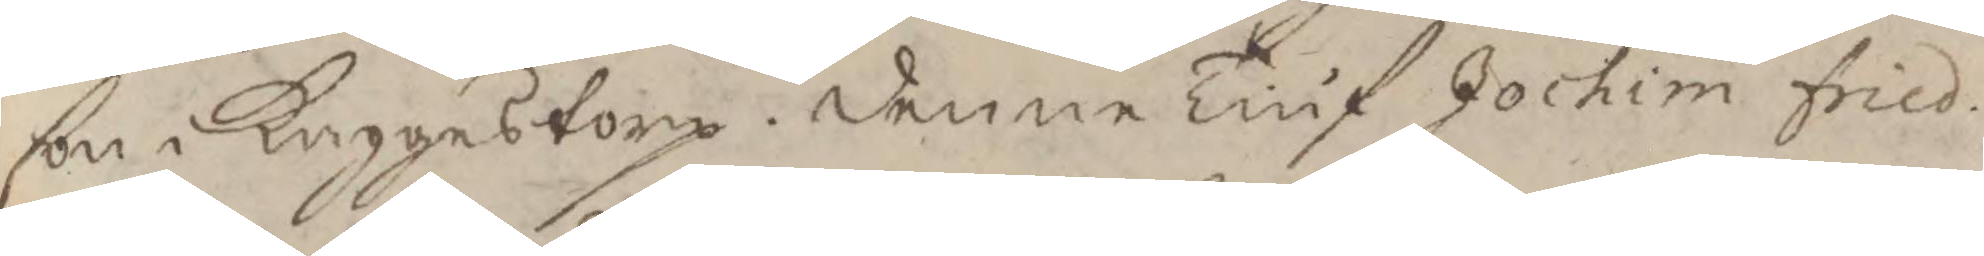son i Kaggestorp. denne Tiuf Jochim Fried.
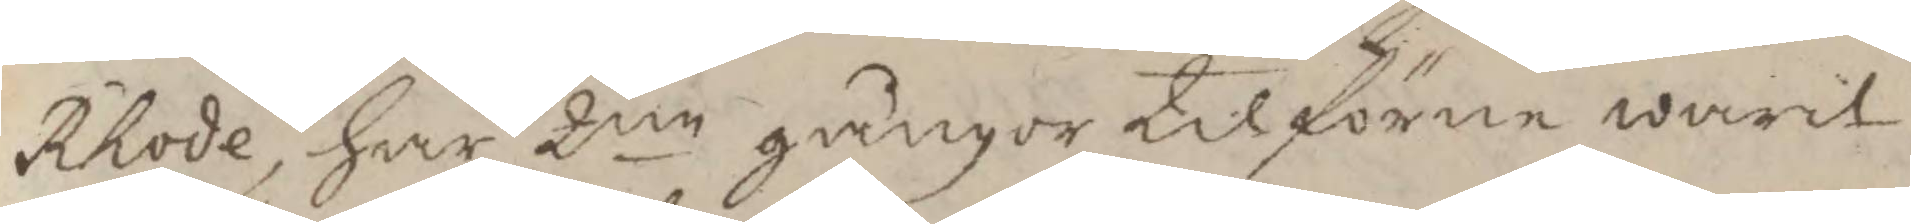Rhode, har 2ne gånger tilförn warit
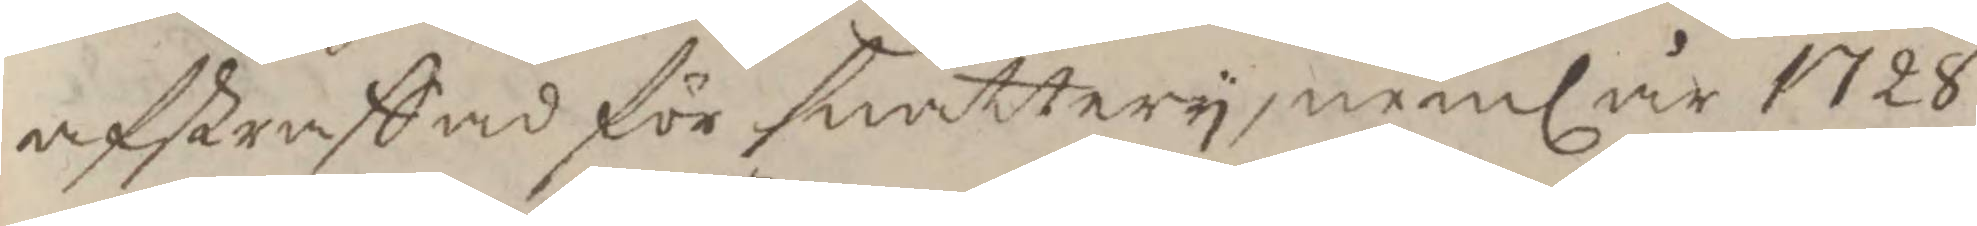afstraffad för snattery, neml år 1728
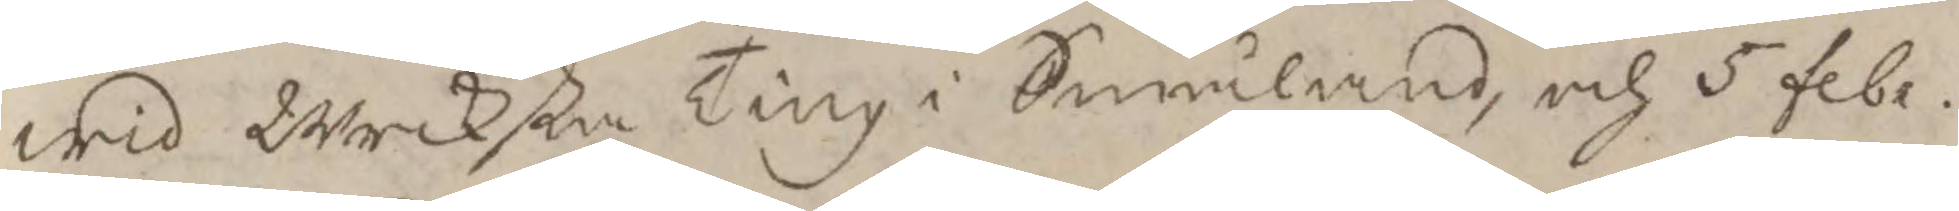wid Wecksta Ting i Småland, och 5 febr.
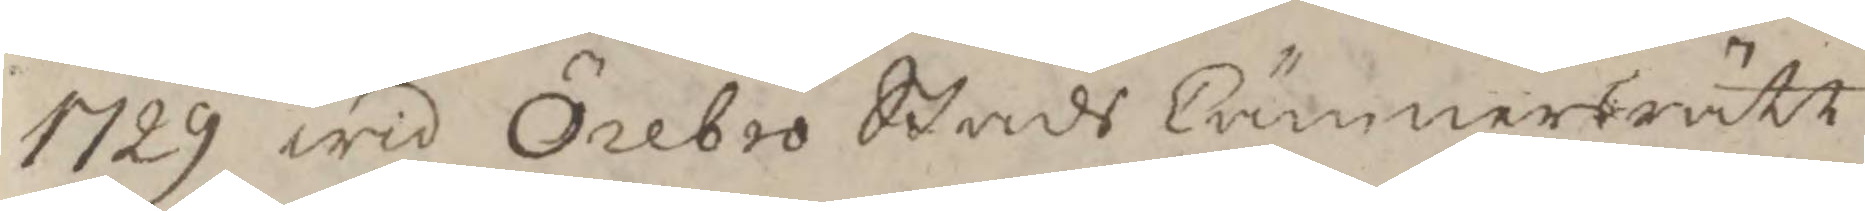1729 wid Örebro Stads Cämnersrätt.
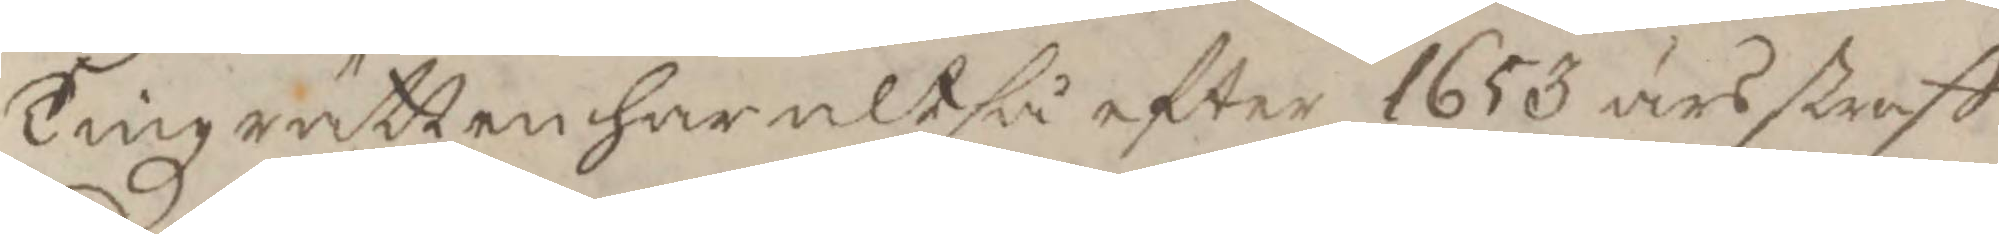Tingzrätten har altså efter 1653 års straff¬
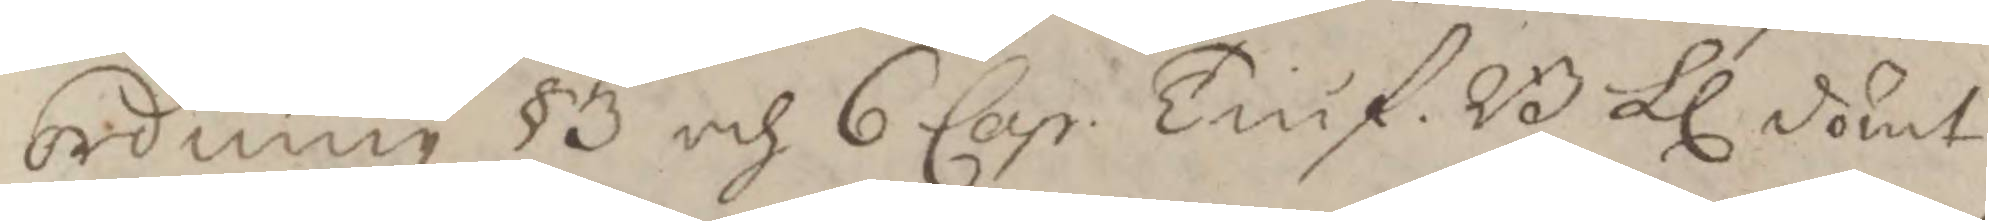ordning §3 och 6 Cap. Tuif. B Ll dömt
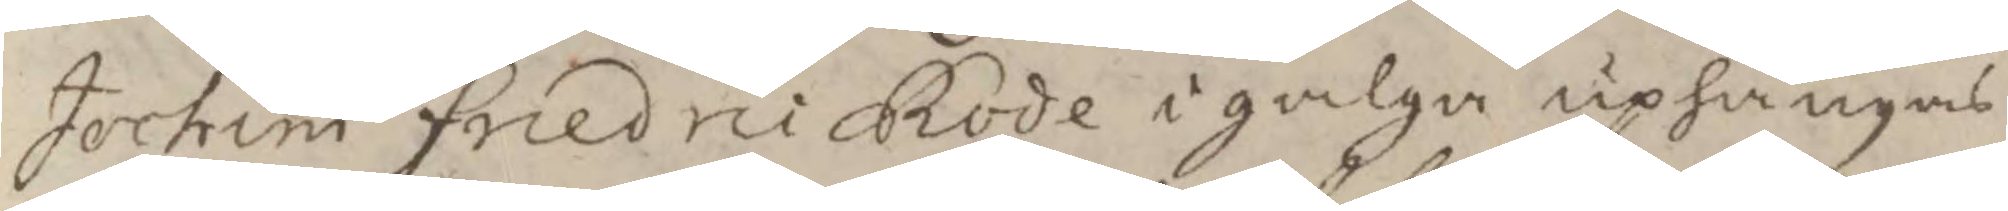Jochim Friedric Rode i galge uphängas
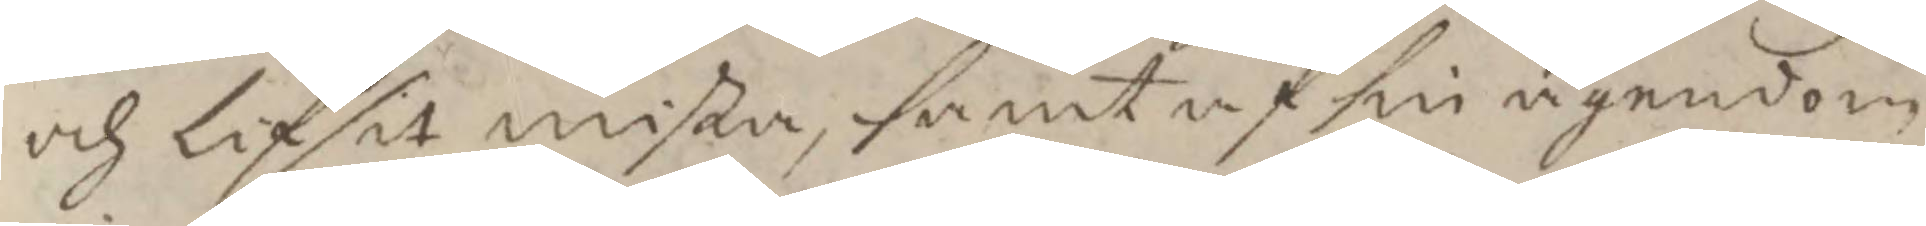och lif sit mista, samt af sin ägendom
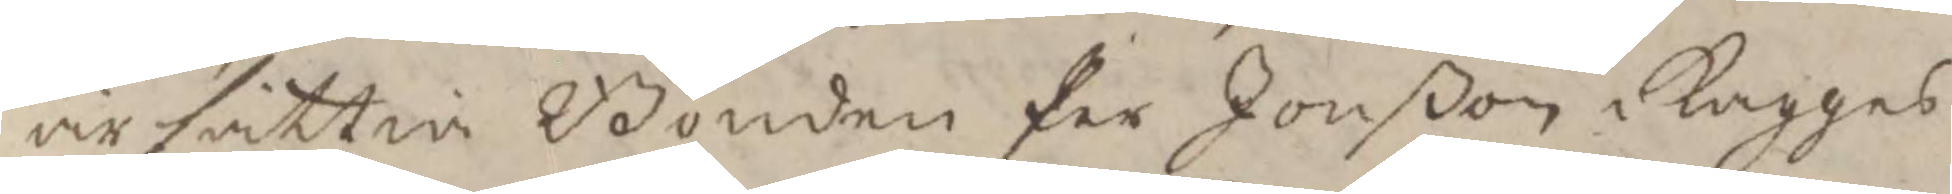ärsättia Bonden Per Jonßon i kagges¬
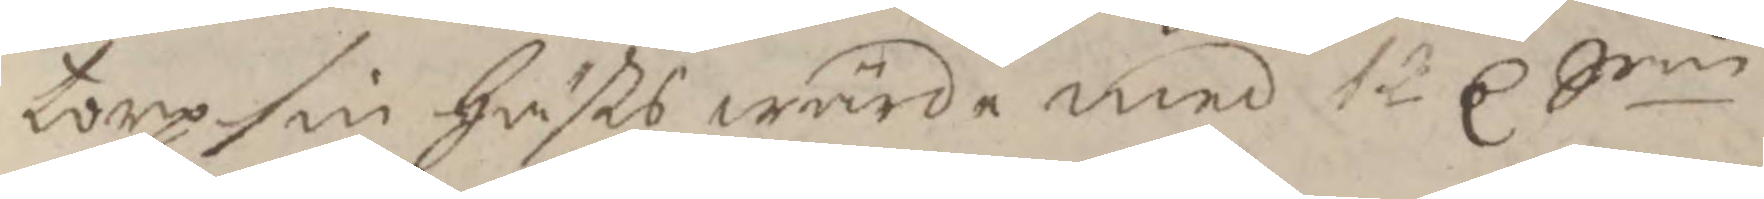toro sin hästs wärde med 12 C Srm
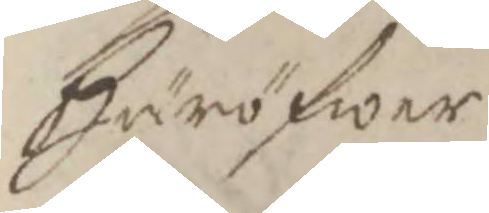Häröfwer
